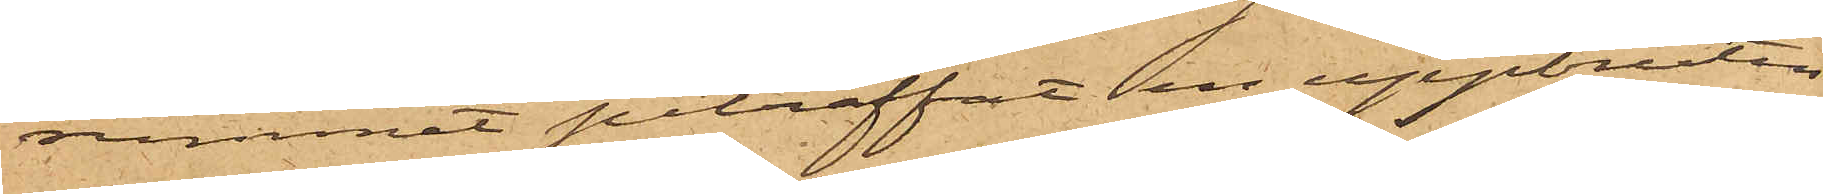rummet påträffat en uppbruten
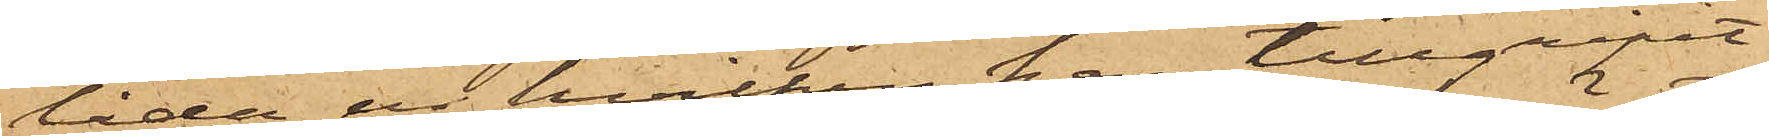låda, ur hvilken han tillgripit
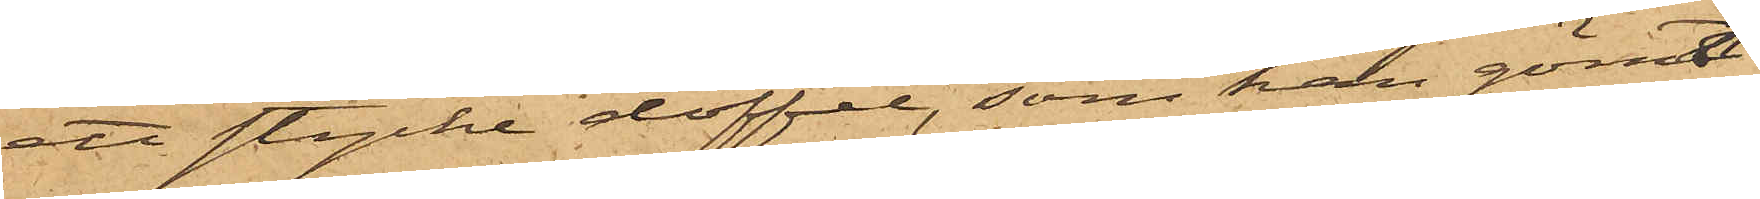ett stycke doffel, som han gömt
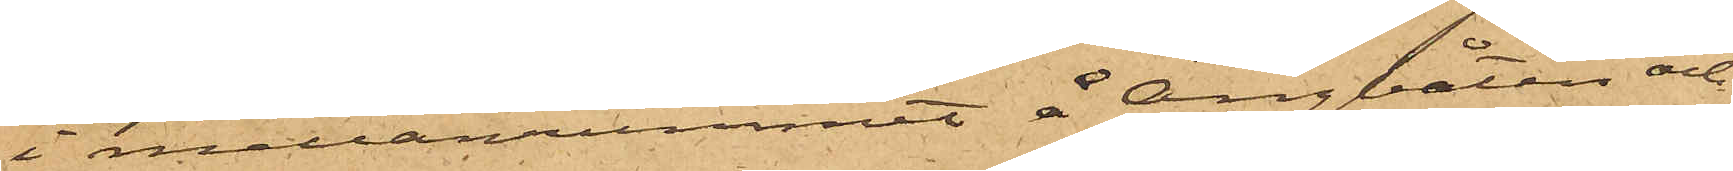i mellanrummet å Ångbåten och
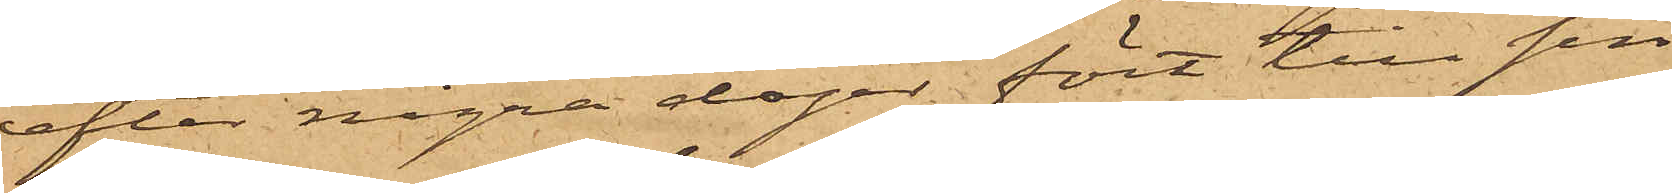efter några dagar fört till sin
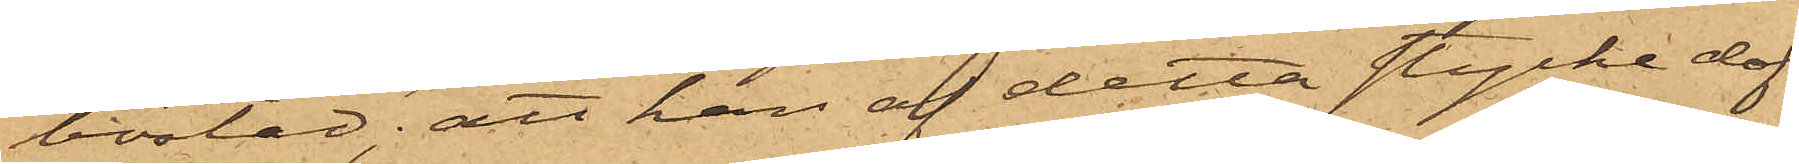bostad; att han af detta stycke dof¬
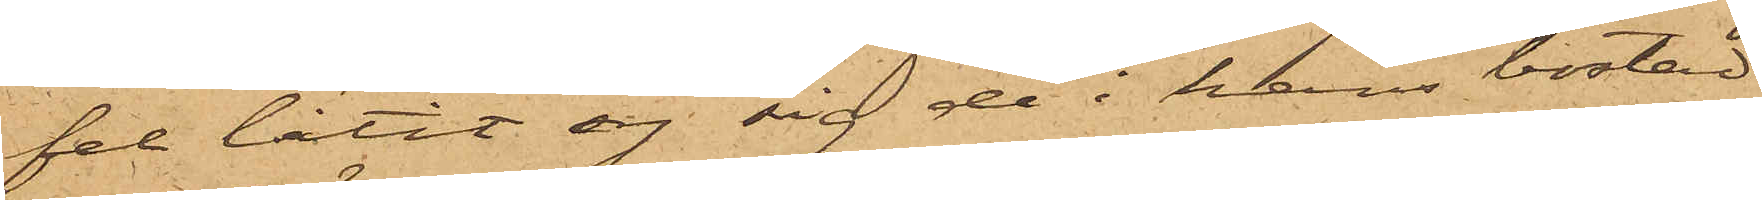fel låtit sy sig de i hans bostad
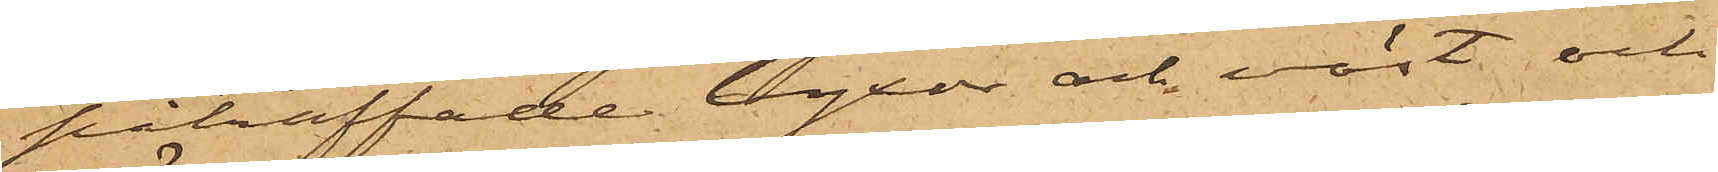påträffade byxor och väst och
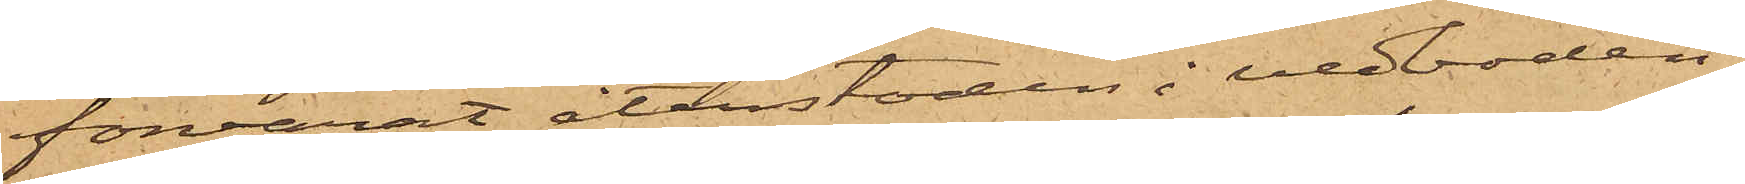förvarat återstoden i vedboden,
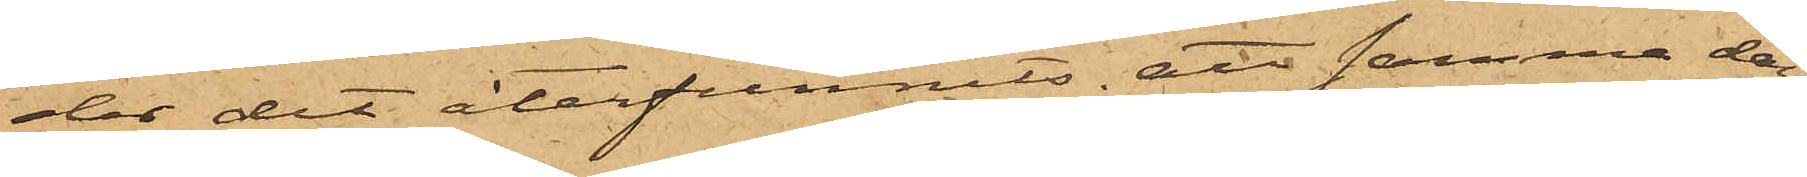der det återfunnits, att samma dag
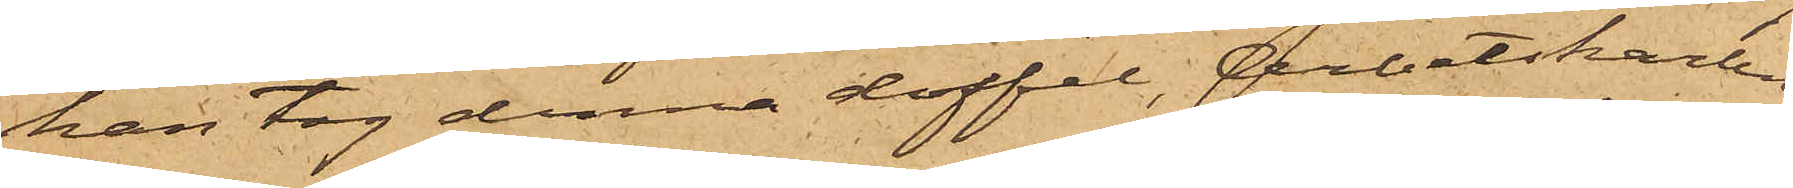han tog denna doffel, Arbetskarlen
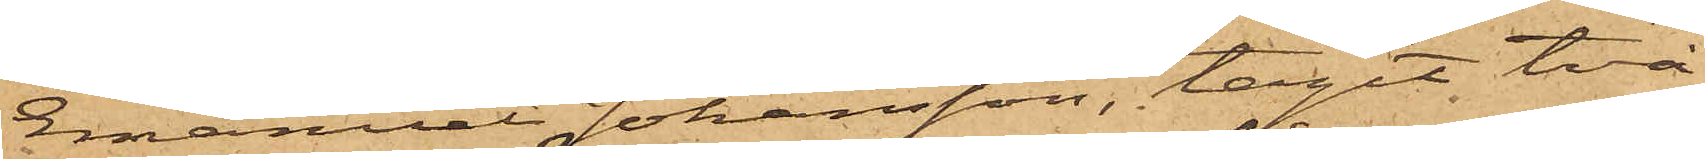Emanuel Johansson, tagit två
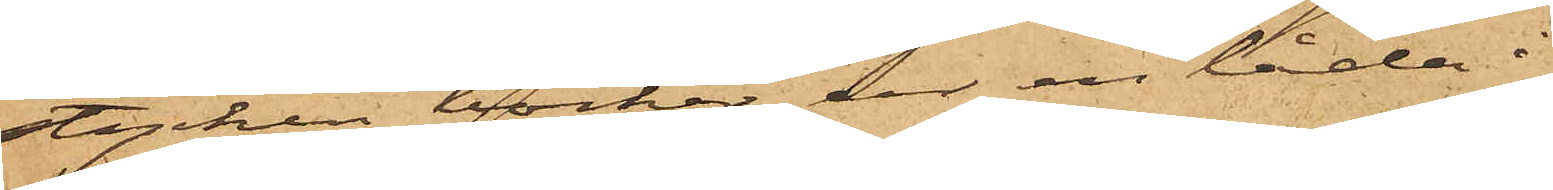stycken böcker ur en låda i
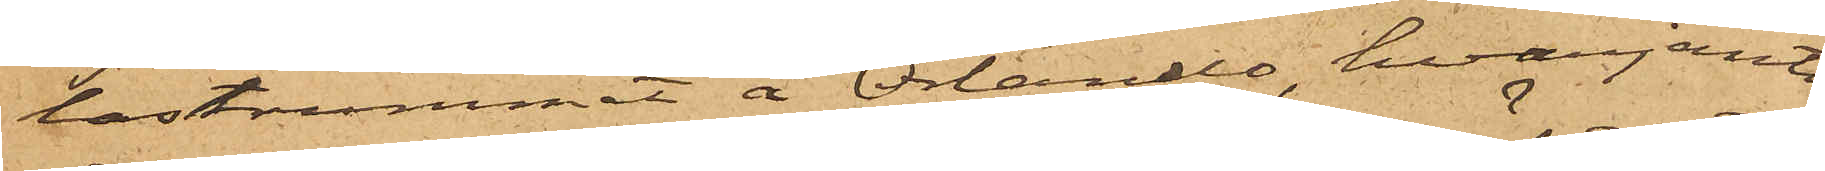lastrummet å Orlando, hvarjemte
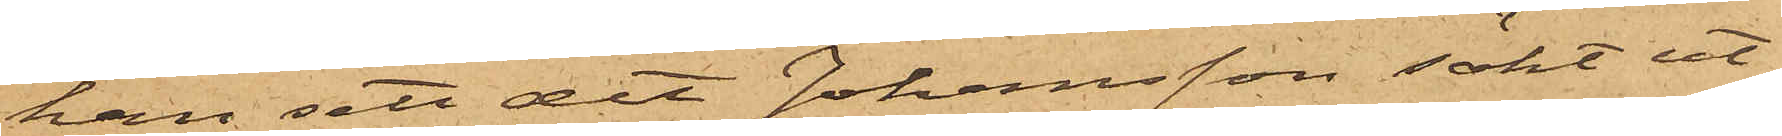han sett det Johansson sökt ut¬
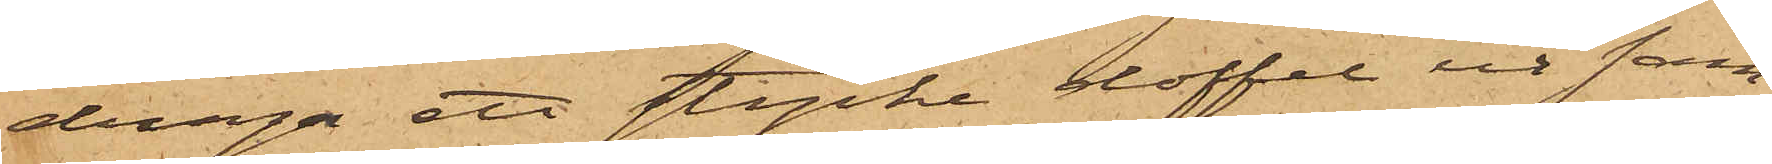draga ett stycke doffel ur sam¬
